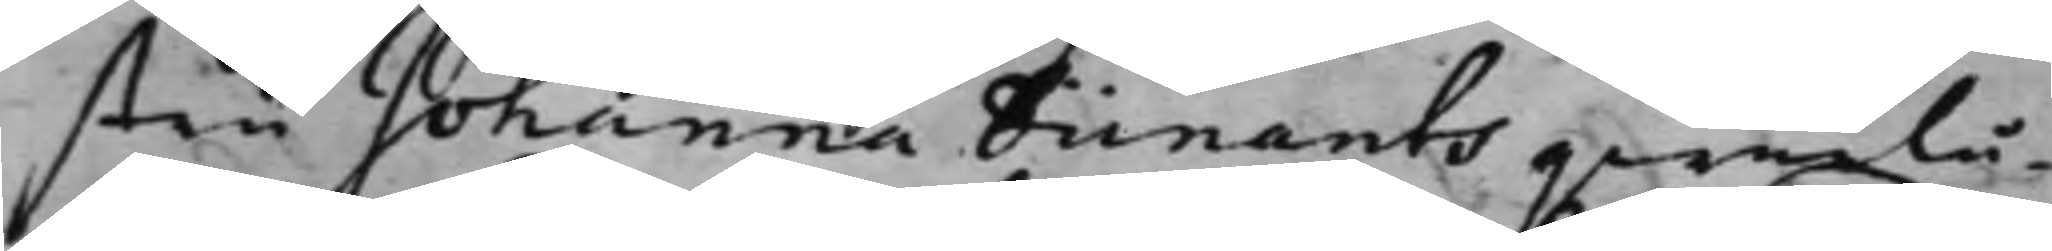stru Johanna Dünants qwarlå¬
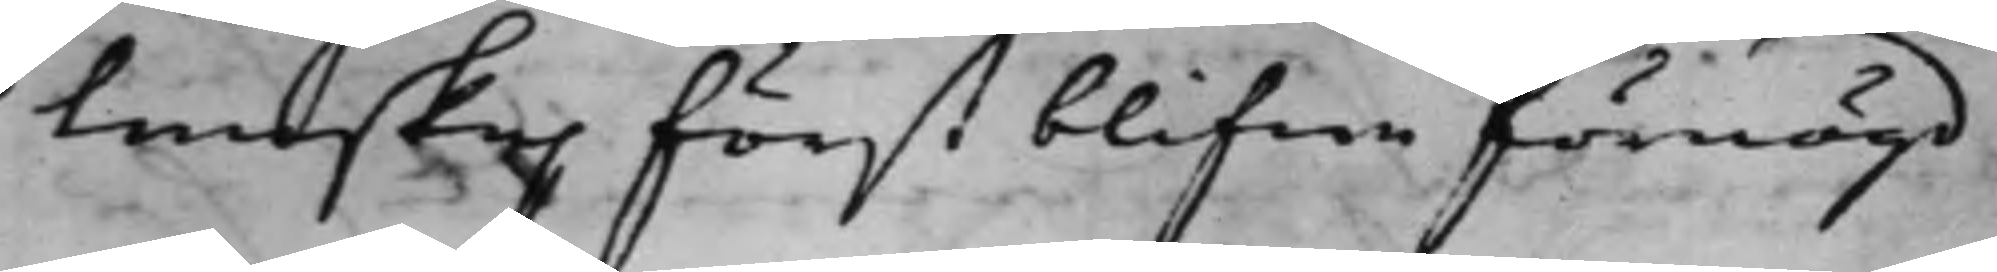tenskap först blifwa förnögd
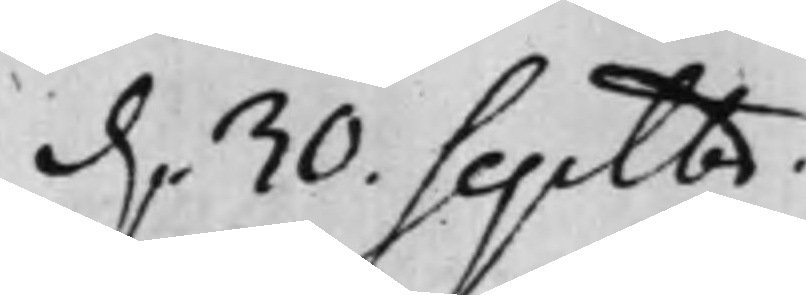d. 30. Septbr.
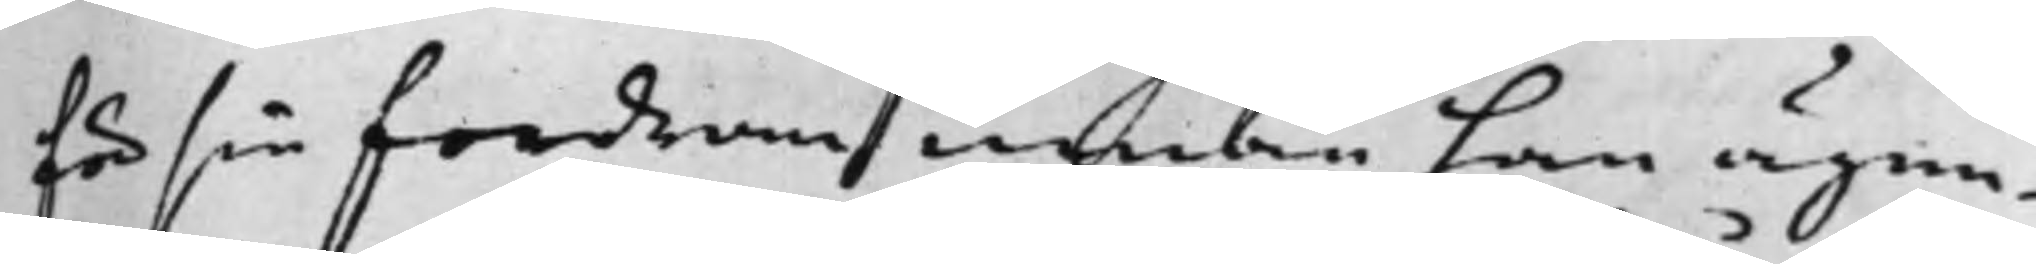för sin fordran innan han ägen¬
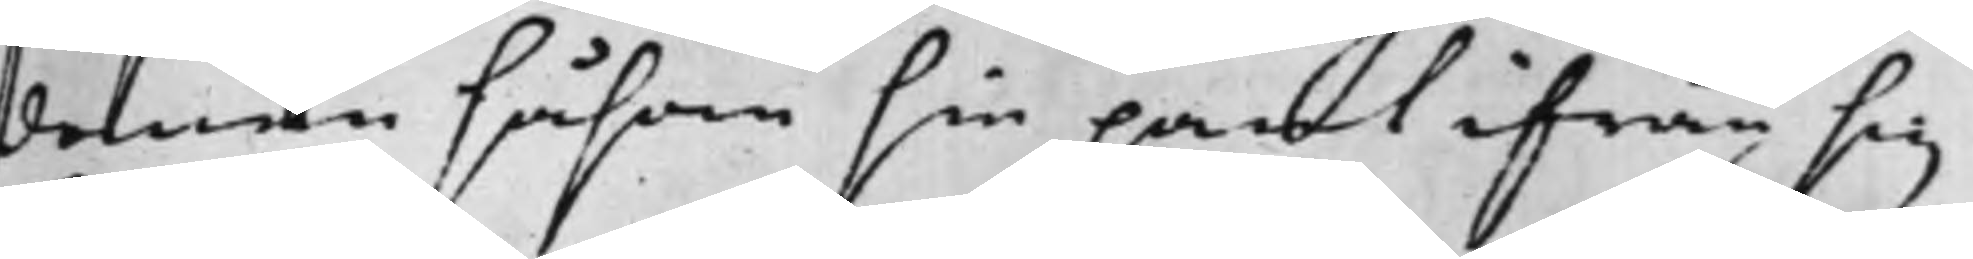domen såsom sin pant ifrån sig
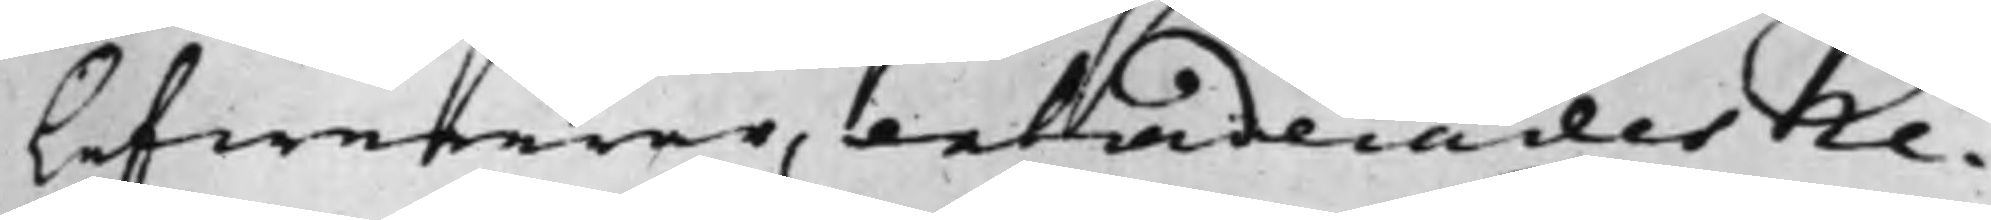lefwererar, extraderades Re¬
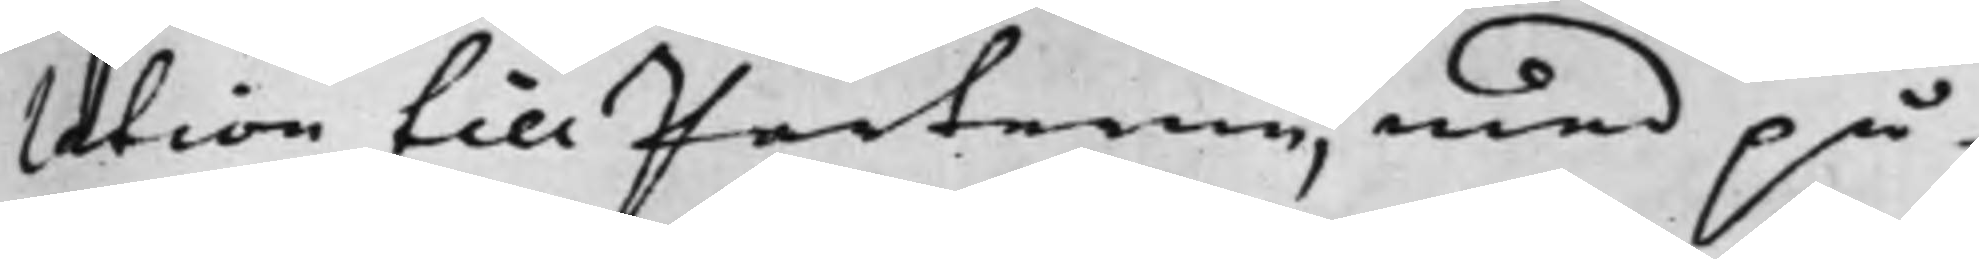lation till Parterne, med på¬
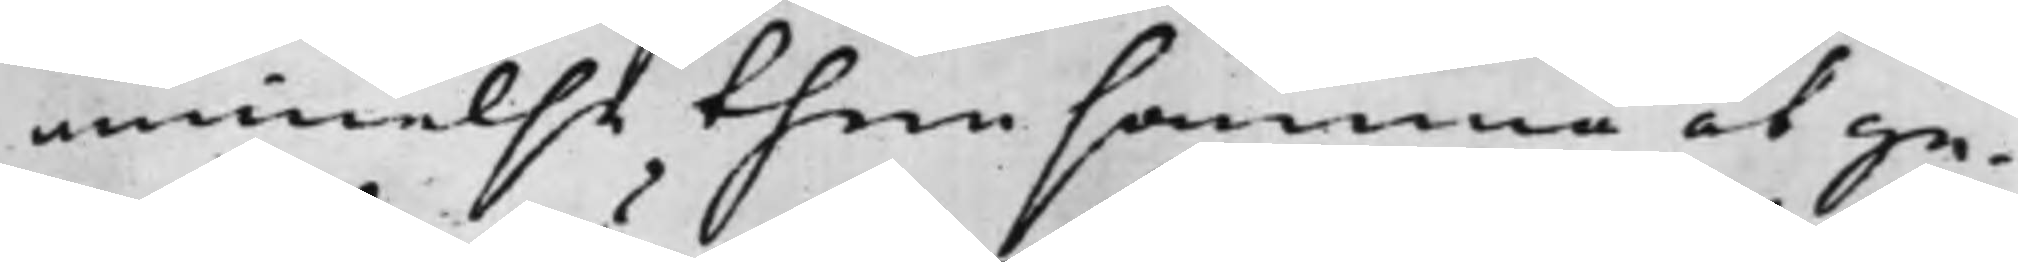minnelse then samma at ge¬
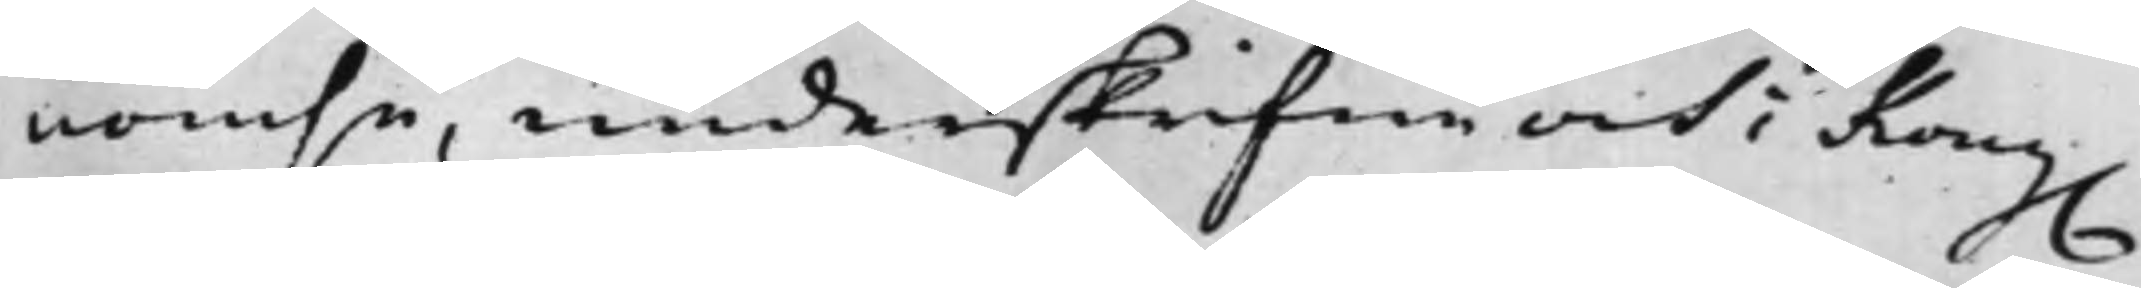nomse, underskrifwa och i Kong.
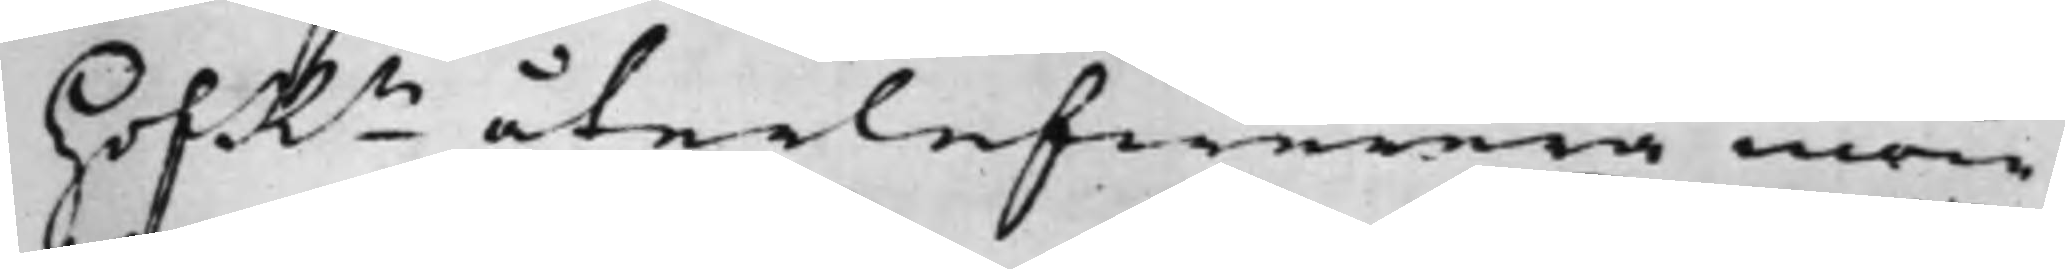HofRn återlefwerera inom
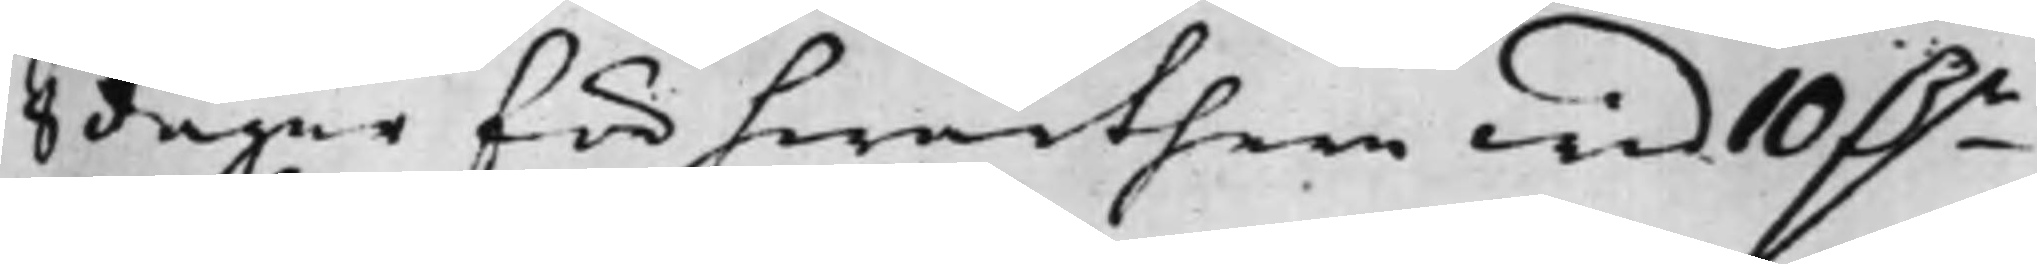8 dagar för hwarthera wid 10 D.r
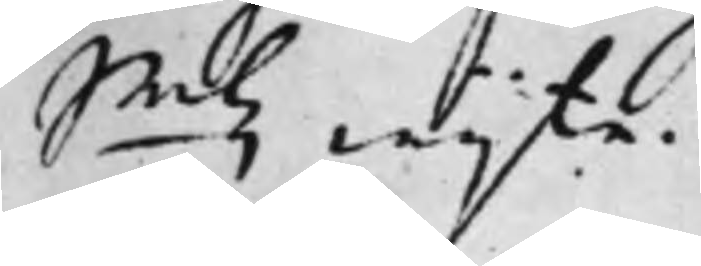Smtz wijte.
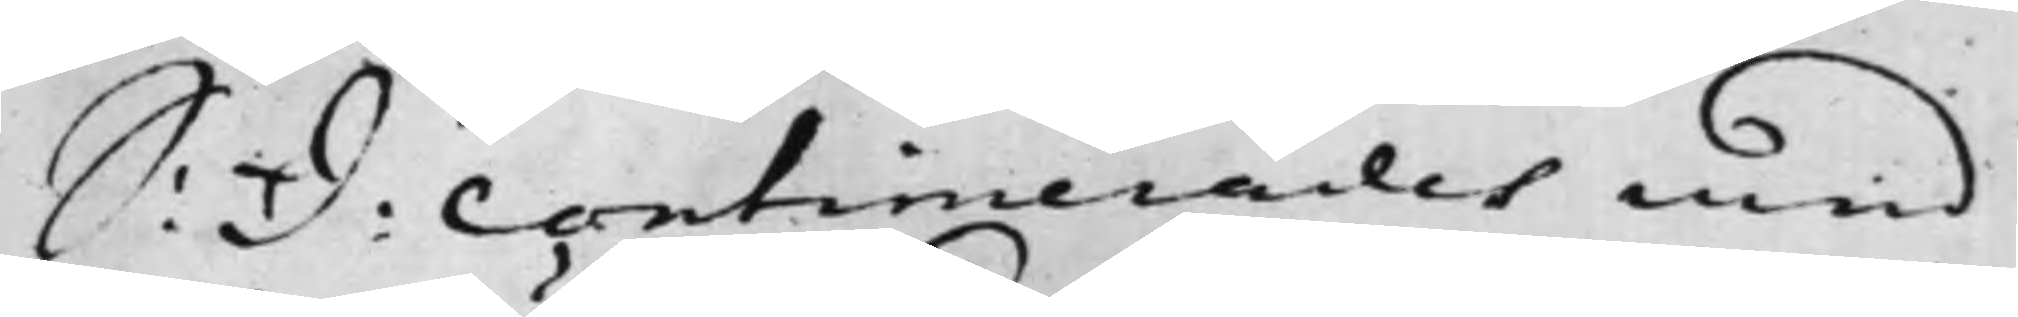S: D: Contimerades med
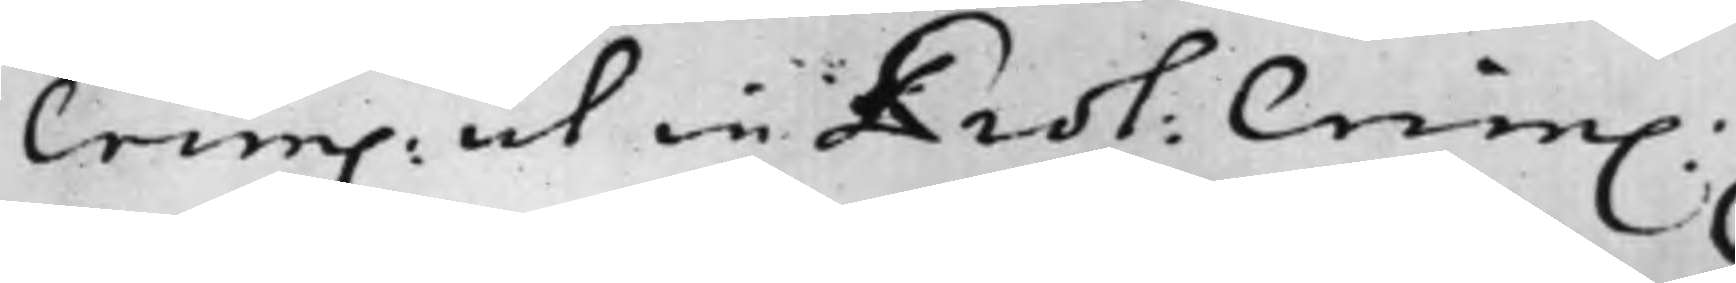Crim ut in Prot: Crim.
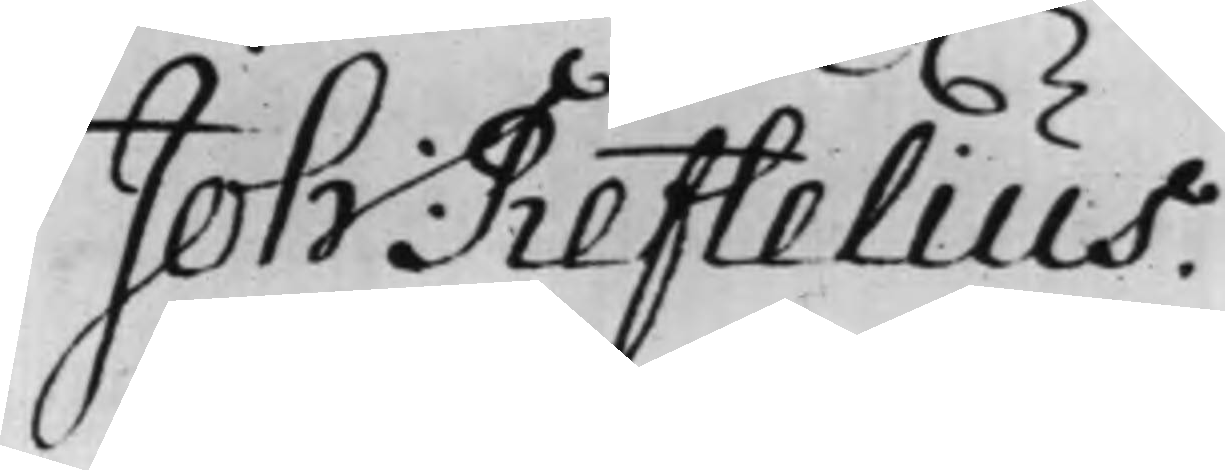Joh: Reftelius.
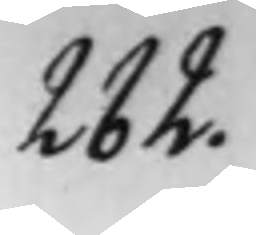282.
